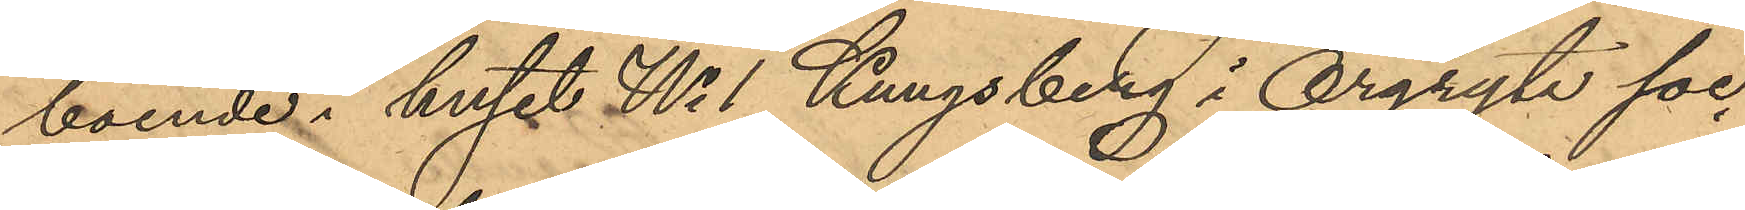boende i huset No 1 Kungsberg i Örgryte soc¬
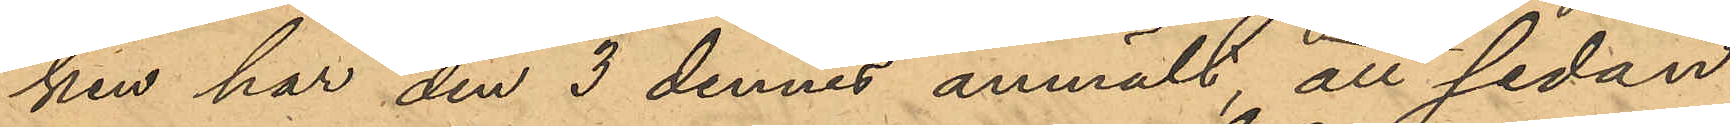ken har den 3 dennes anmält, att sedan
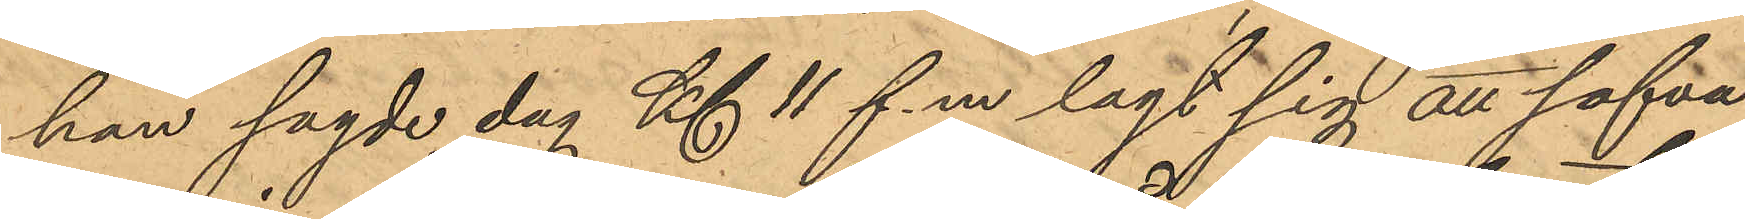han sagde dag Kl 11 f.m lagt sig att sofva
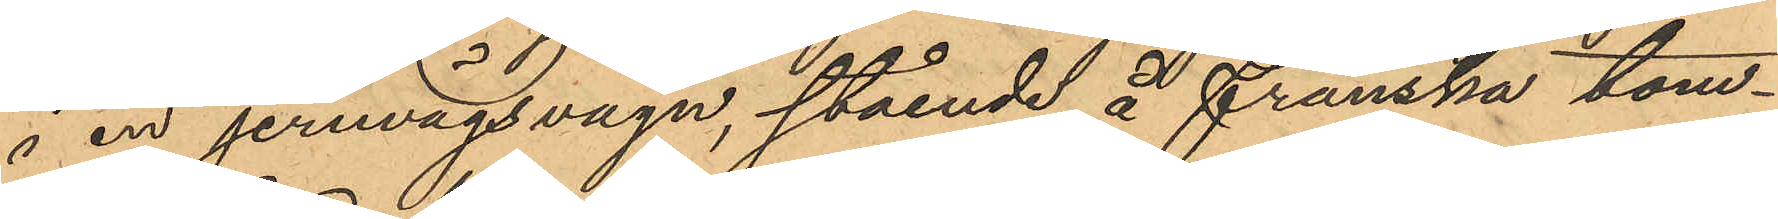i en jernvägsvagn, stående å Franska tom¬
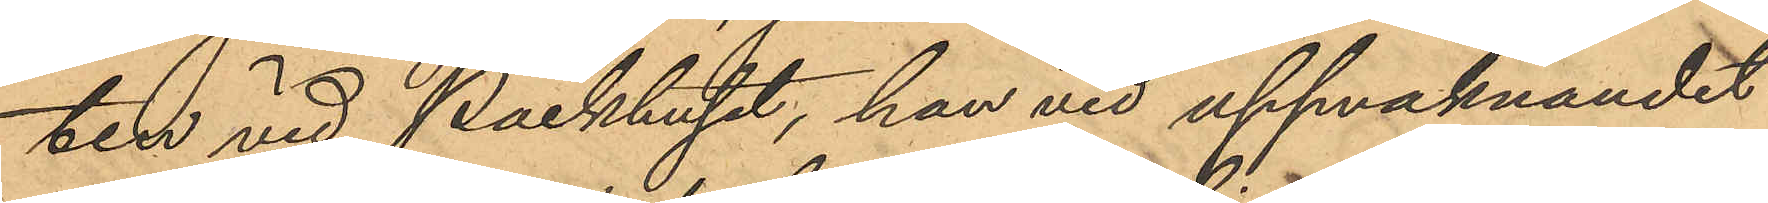ten vid Packhuset, han vid uppvaknandet
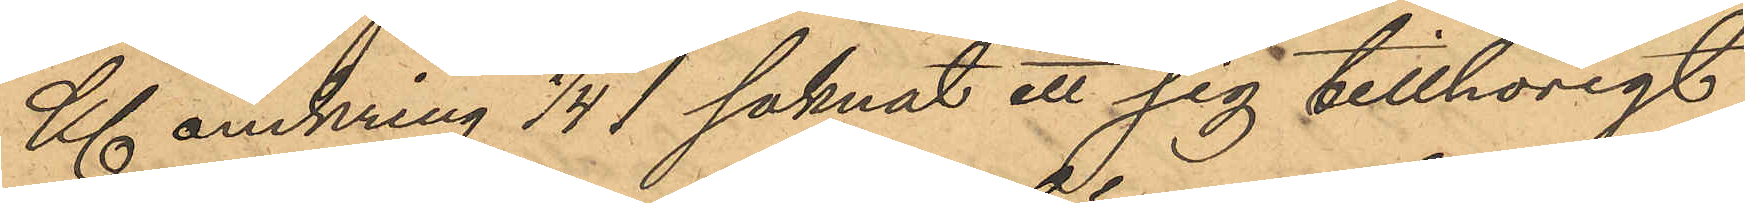Kl omkring 1/4 1 saknat ett sig tillhörigt
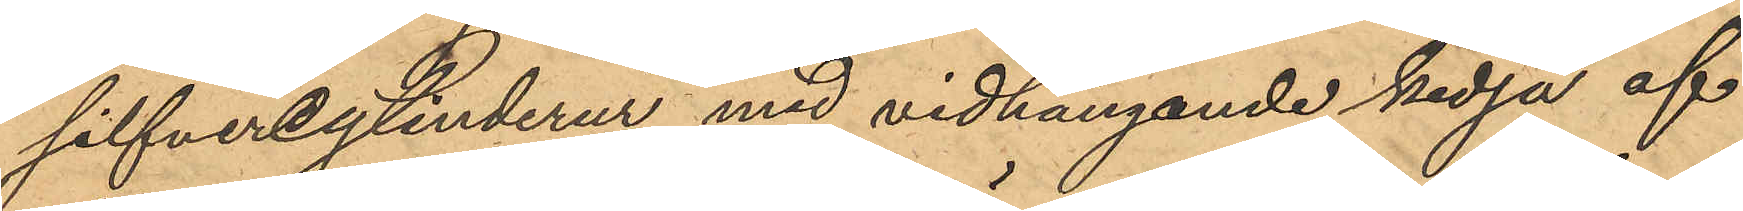silfvercylinderur med vidhängande kedja af
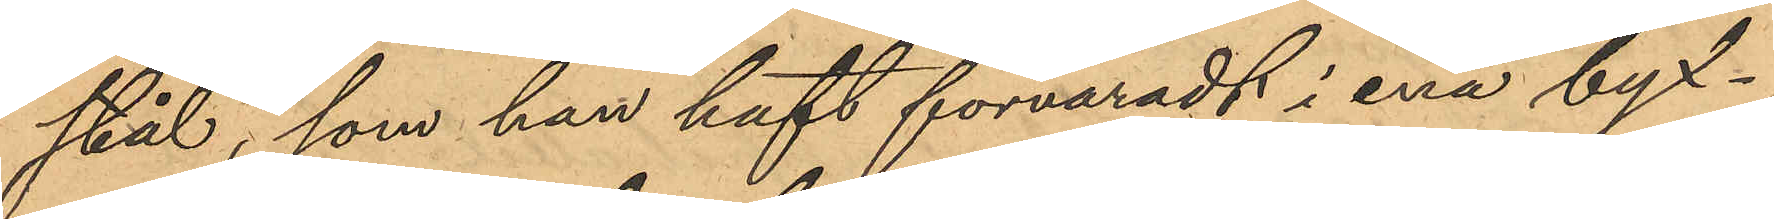stål, som han haft förvaradt i ena byx¬
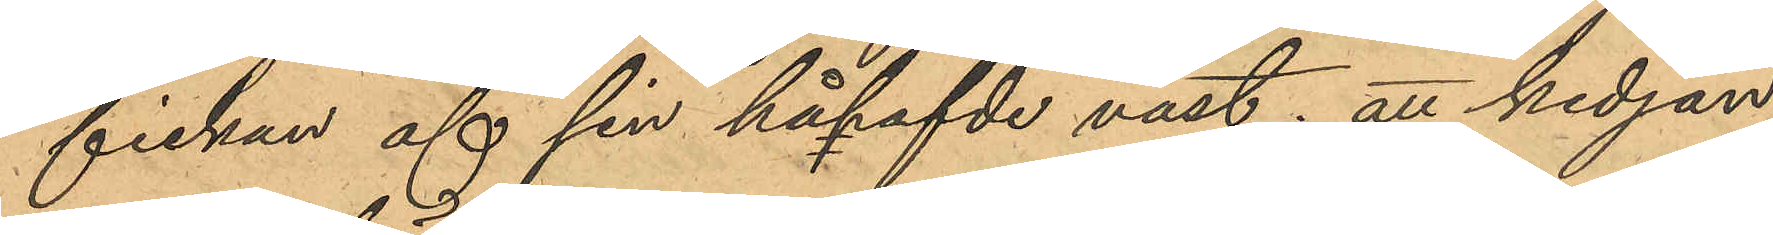fickan af sin påhafde väst; att kedjan
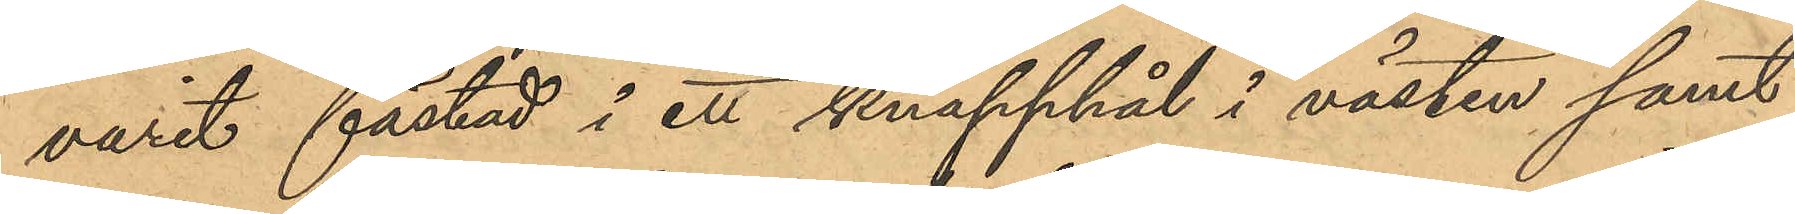varit fästad i ett knapphål i västen samt
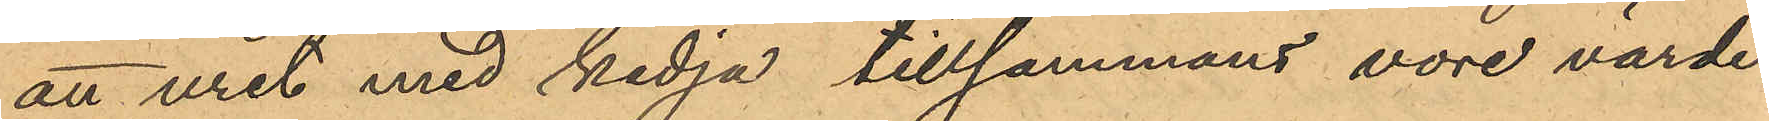att uret med kedja tillsammans vore värde
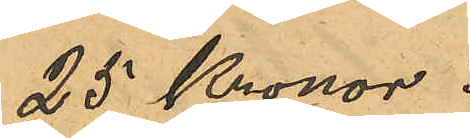25 Kronor.
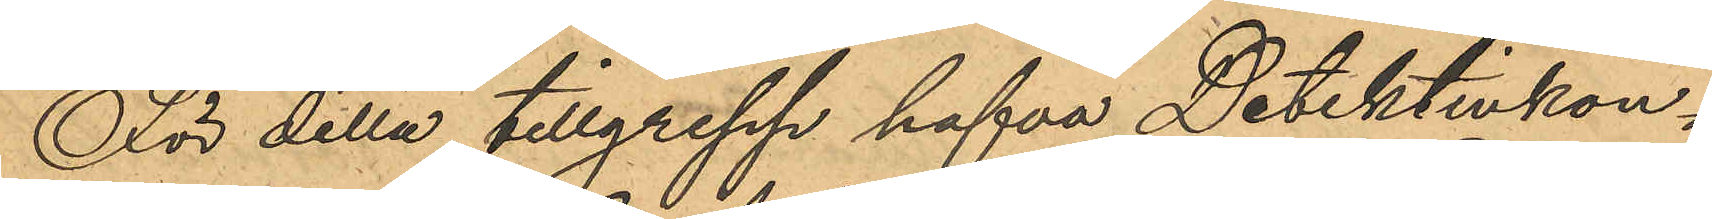För detta tillgrepp hafva Detektivkon¬
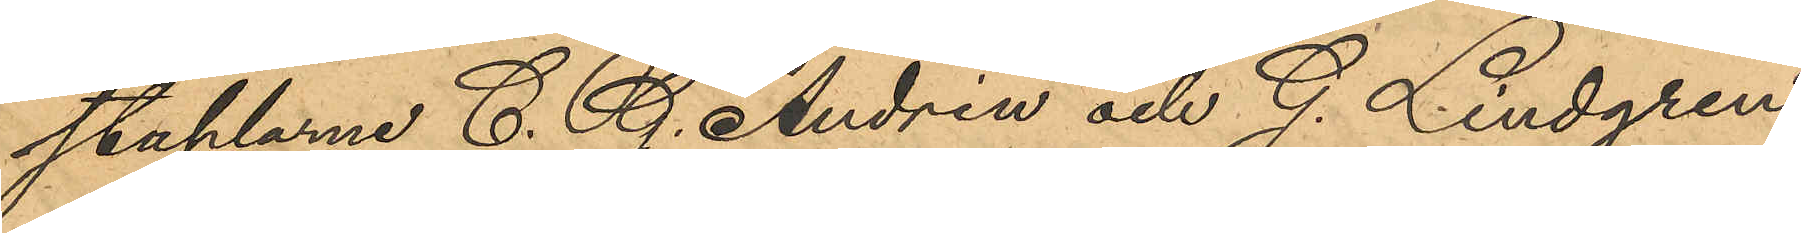staplarne C. G. Andrén och G. Lindgren
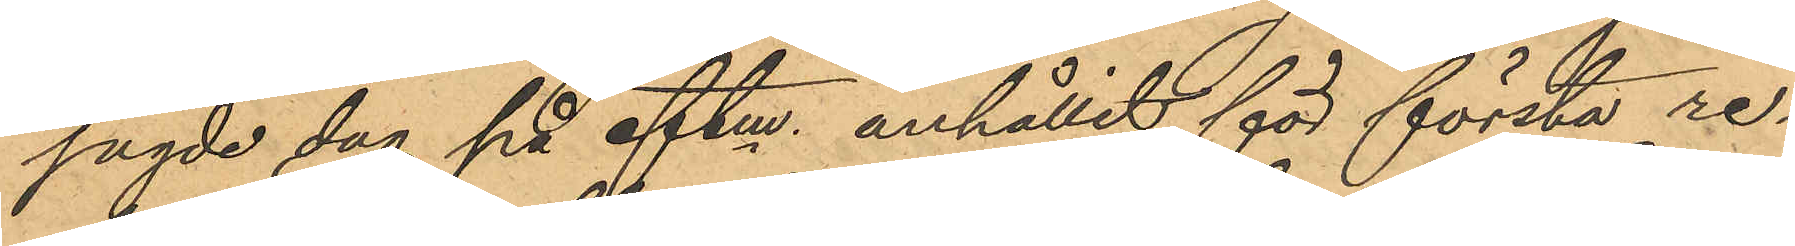sagde dag på eftm anhållit för första re¬
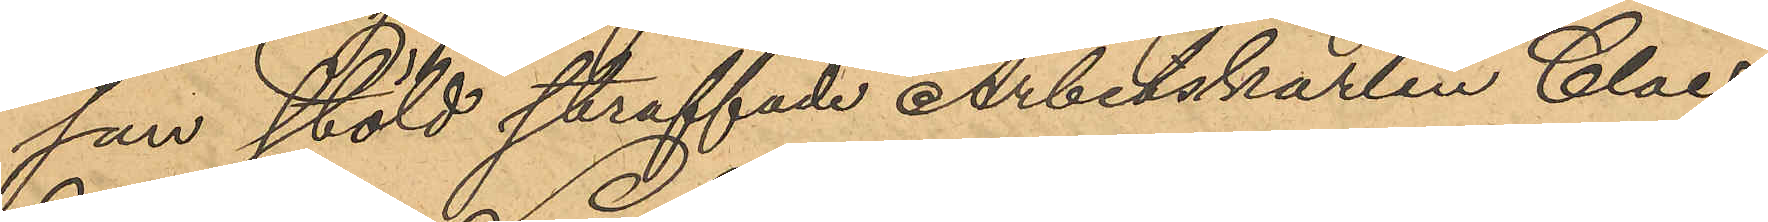san stöld straffade Arbetskarlen Claes
